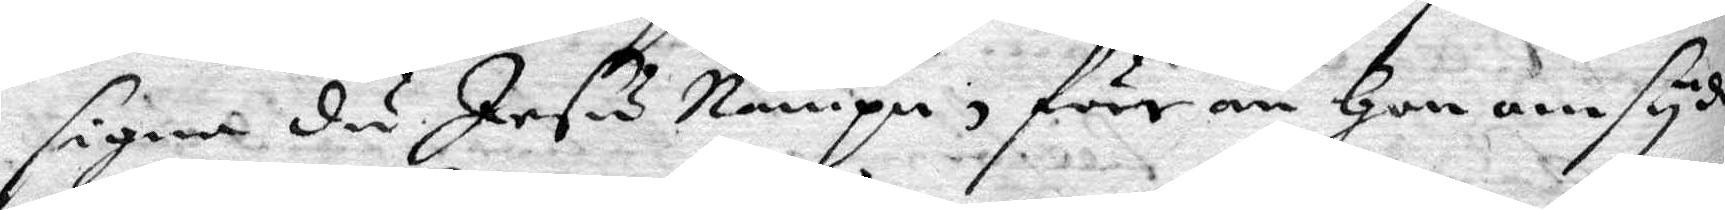signa du Jesu Nampn, före än hon omsyder
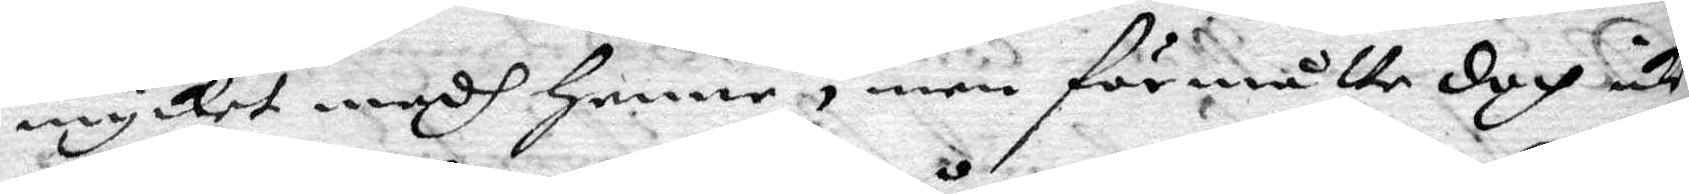mycket medh henne, men förmåtte doch inte
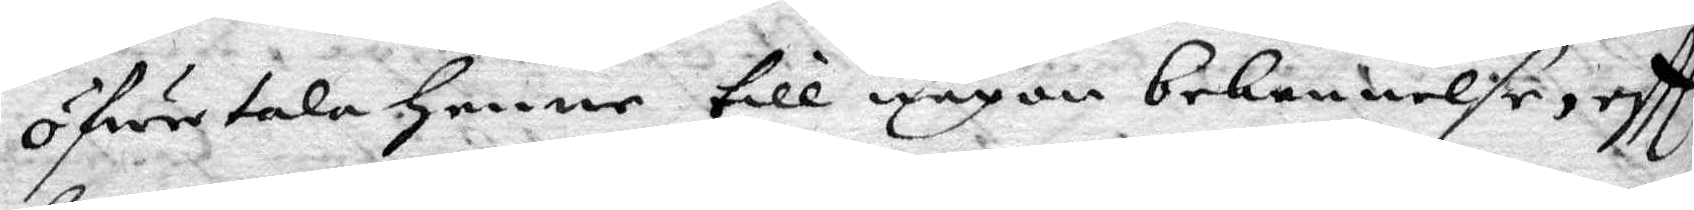öfwertala henne till någon bekennelse, eftter
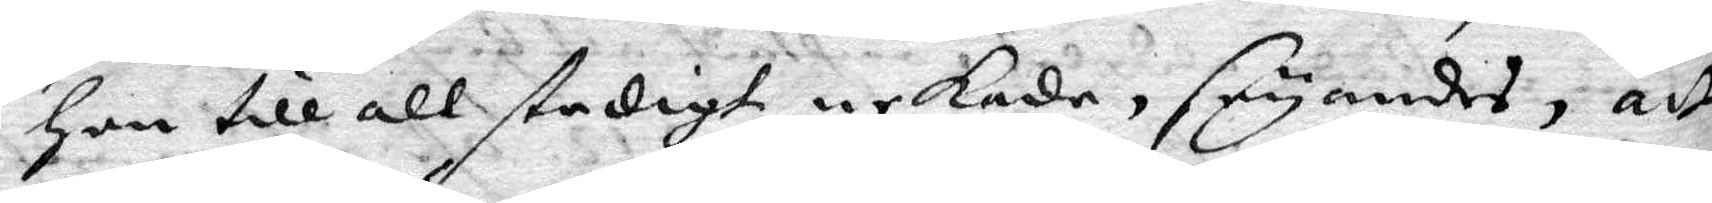hon till all stadigt nekade, seyandes, att
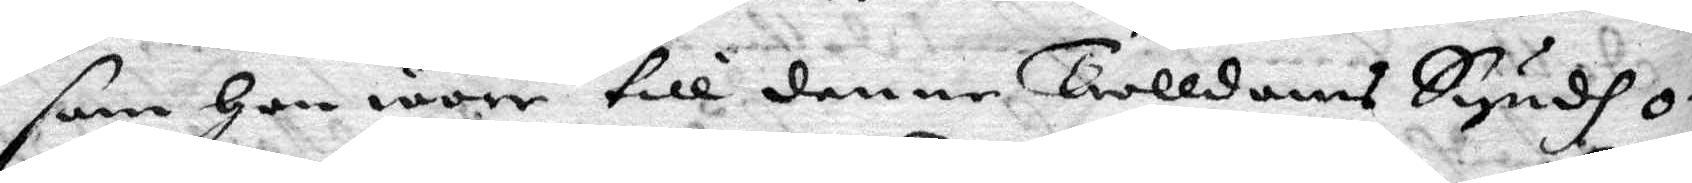som hon wore till denne Trolldoms Syndh o¬
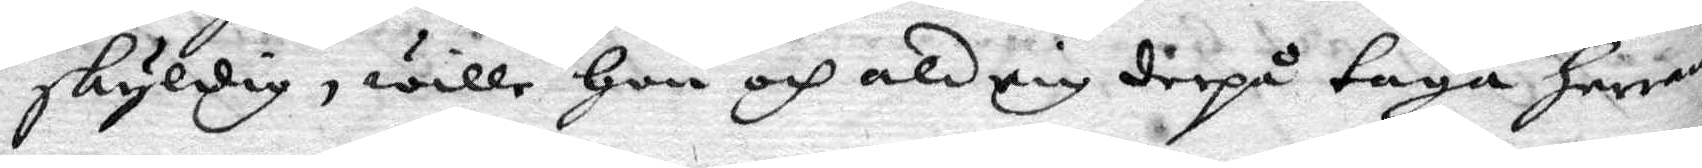skyldig, wille hon och aldrig derpå taga herrans
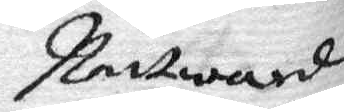Nattward
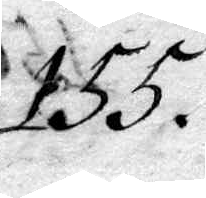155.
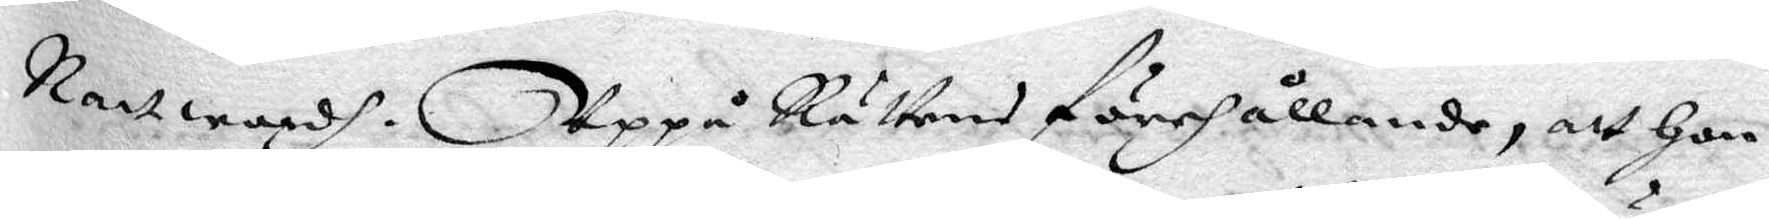Nattward. Uppå Rättens förehållande, att hon
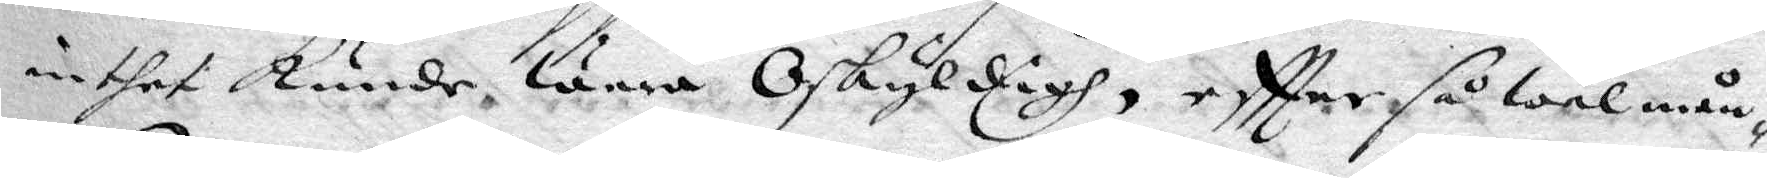inthet kunde wara Oskyldigh, eftter så wäl mån¬
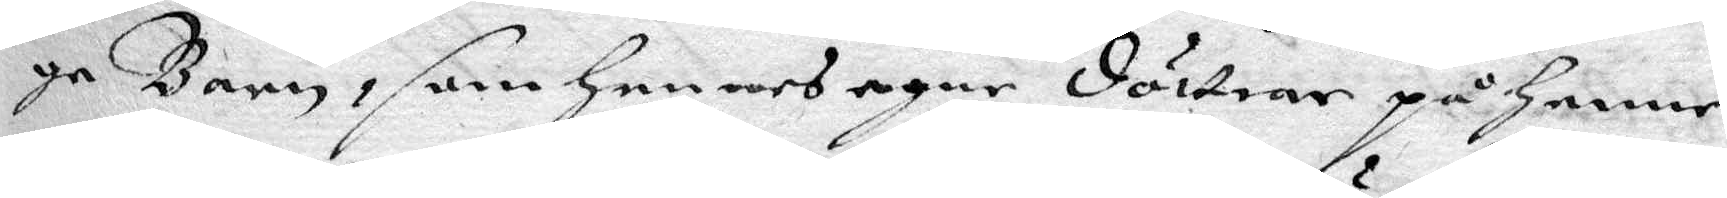ge Barn, som hennes egne döttrar på henne
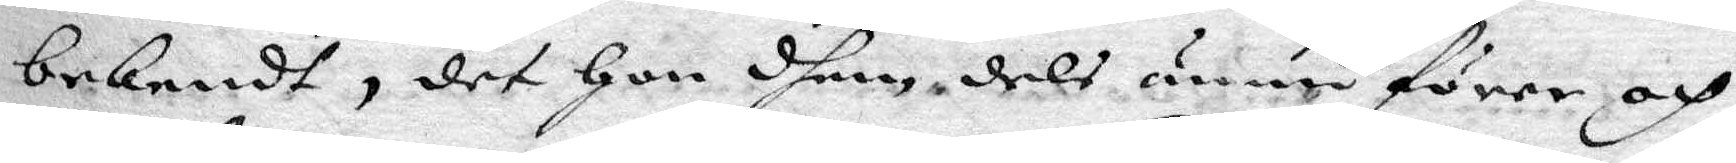bekendt, det hon dhem dels ännu förer och
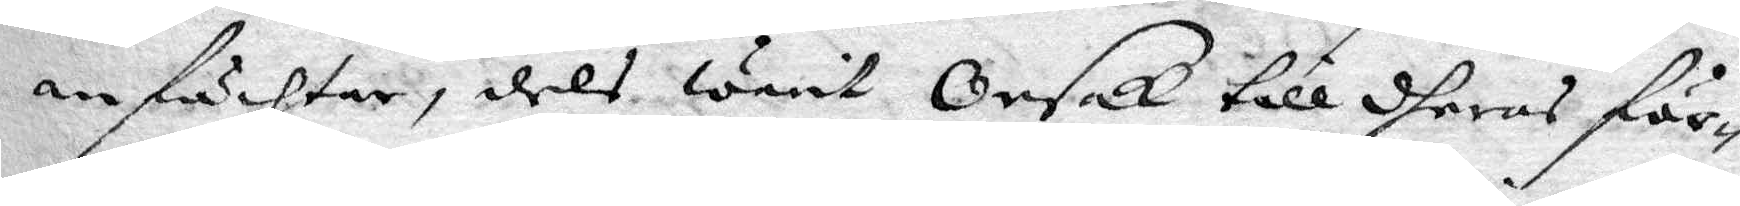anfächtar, dels warit Orsak till dheras för¬
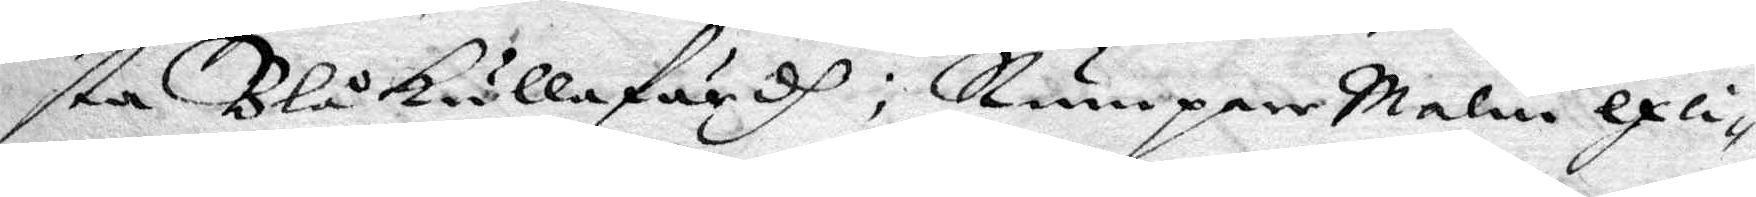sta Blåkullafärdh; Rumpare malin exli¬
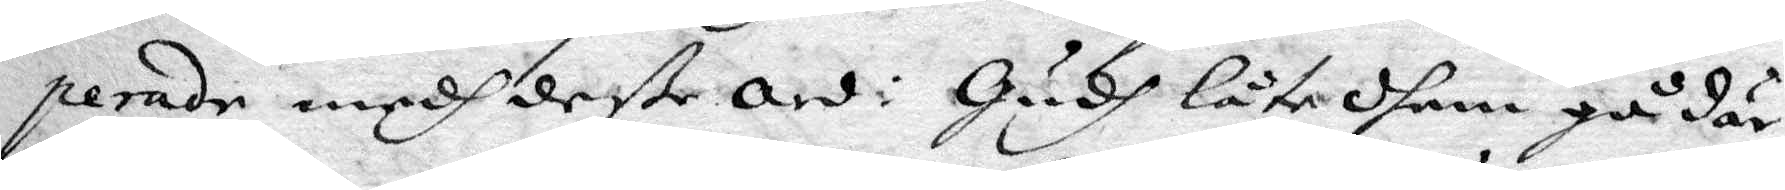perade medh deße ord: gudh låte dhem gå där
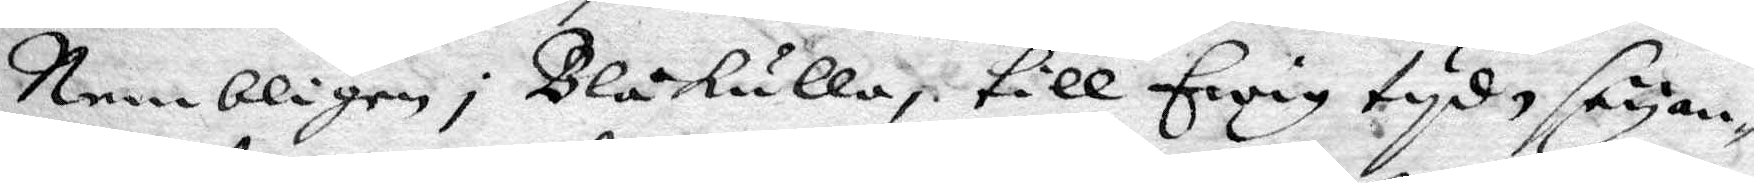Nembligen i Blåkulla, till Evig tyd, seyan¬
